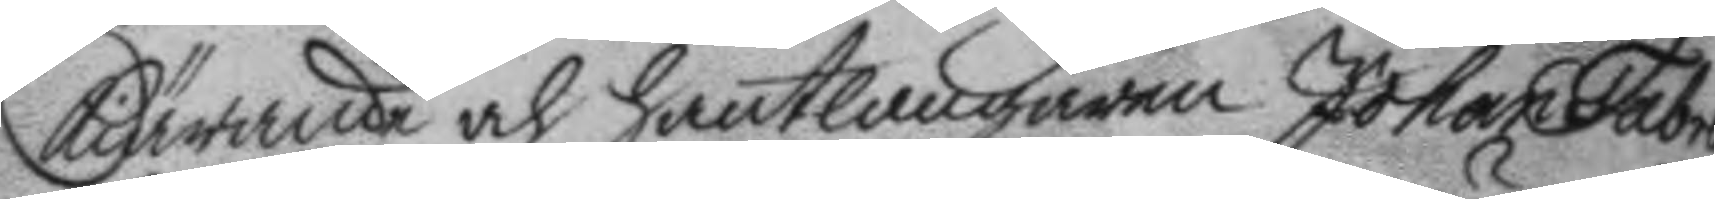kiärande och hantlangaren Johan Fabrell
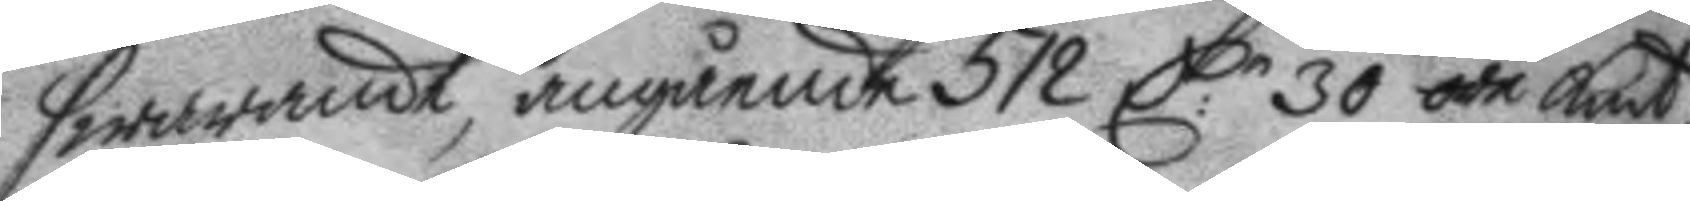swarande, angående 512 C:r 30 öre Kmt,
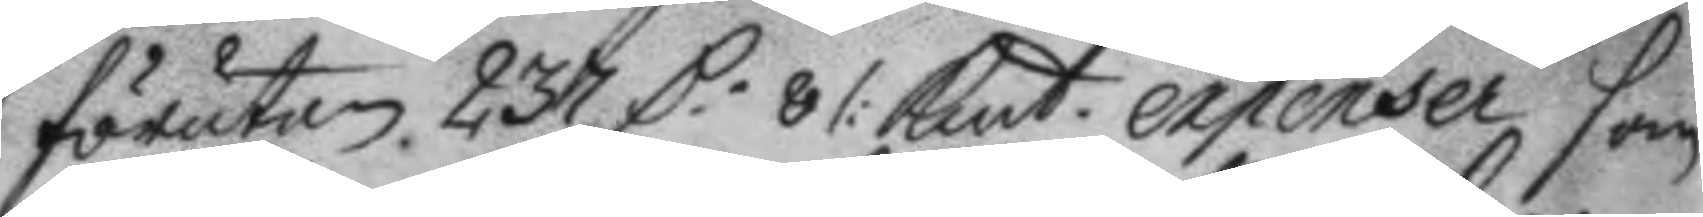förutan 237 C 8/: Kmt expenser som
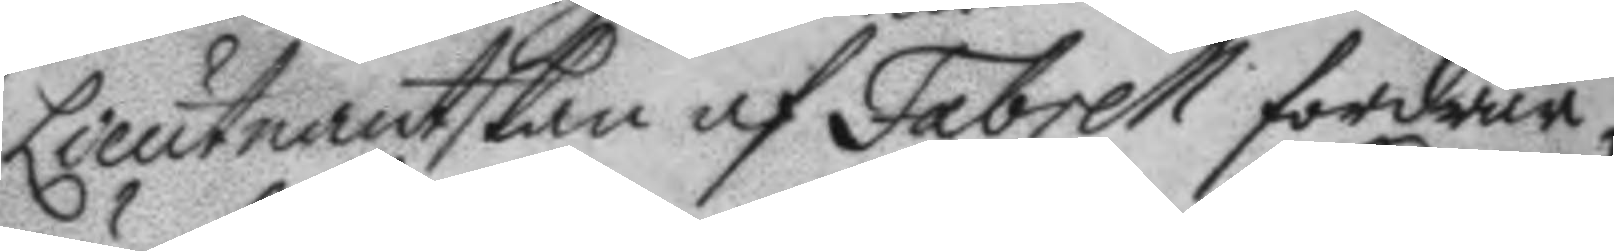Lieutnantskan af Fabrell fordrar
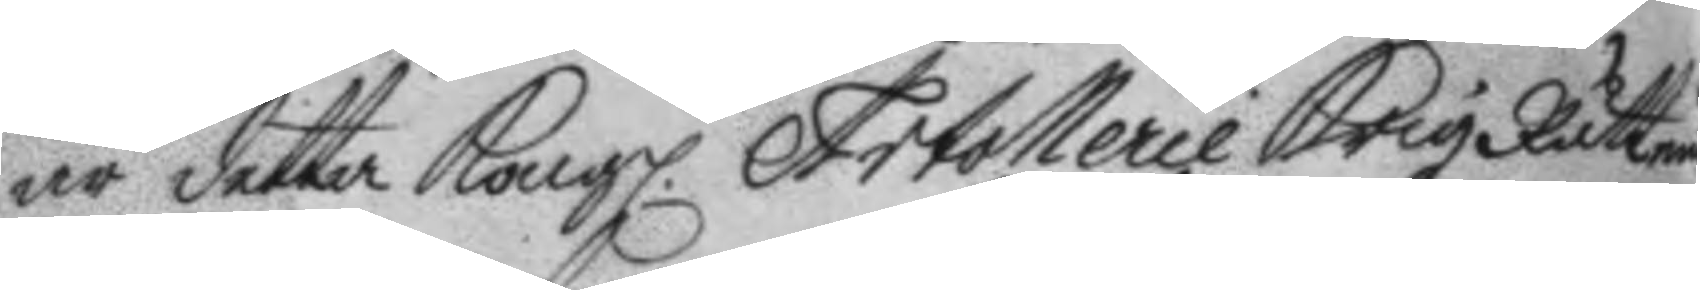är detta Kongl. Artollerie Krigz Rätten
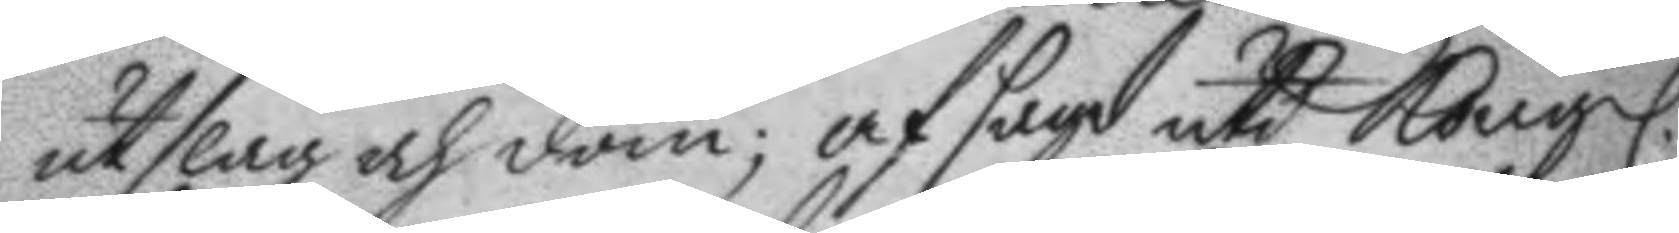utslag och dom; afsagd uti Kongl.
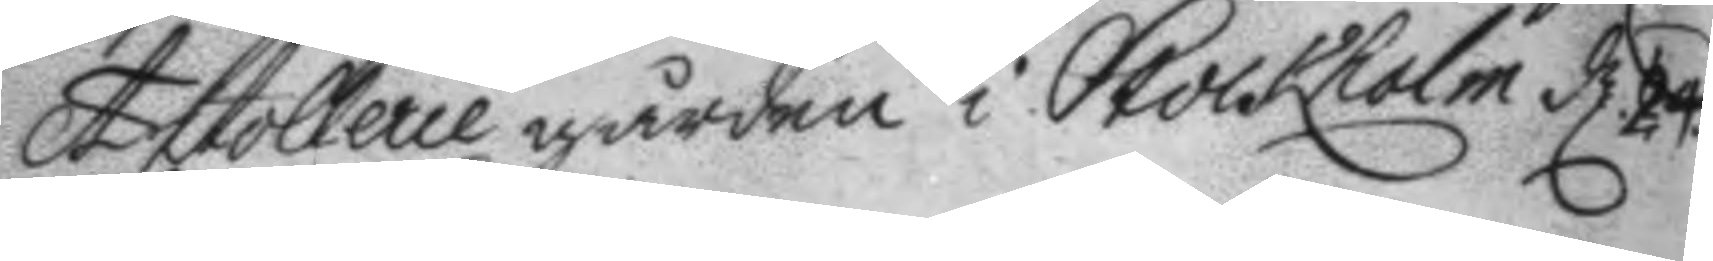Artollerie gården i Stockholm d: 24.
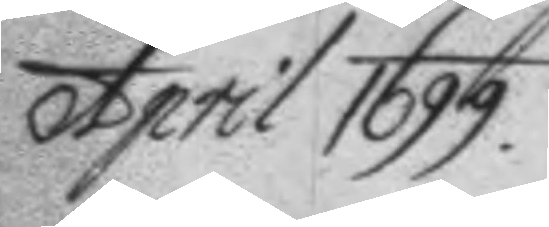April 1699.
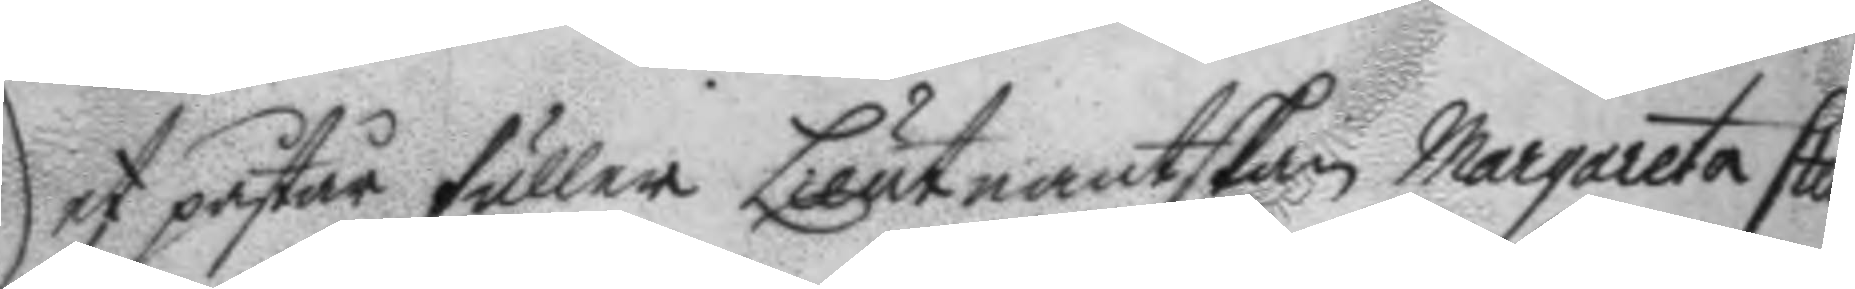det påstår fuller Lieutnantskan Margareta Sten¬
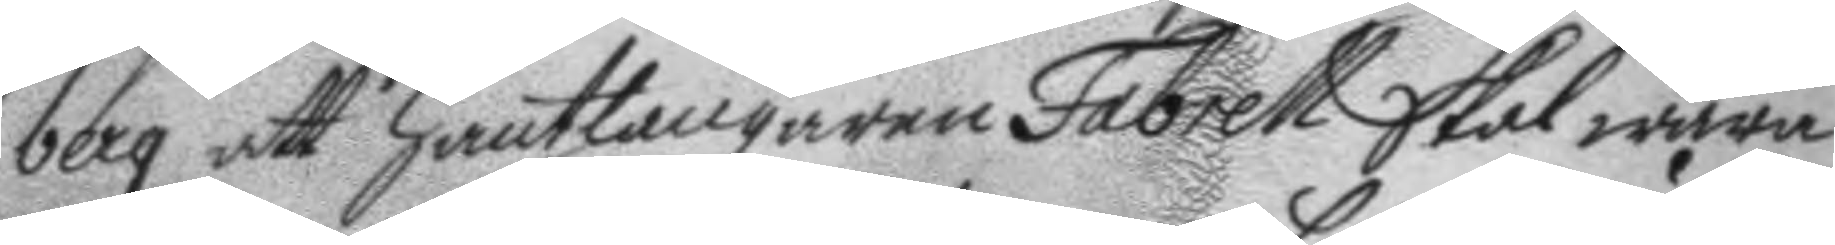berg att hantlangaren Fabrell skal wara
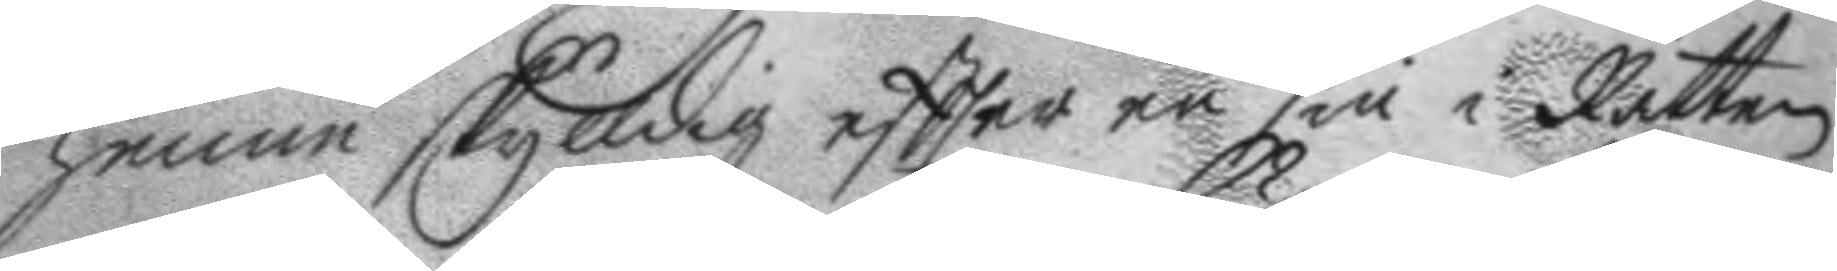henne skylldig eftter en sin i Rätten
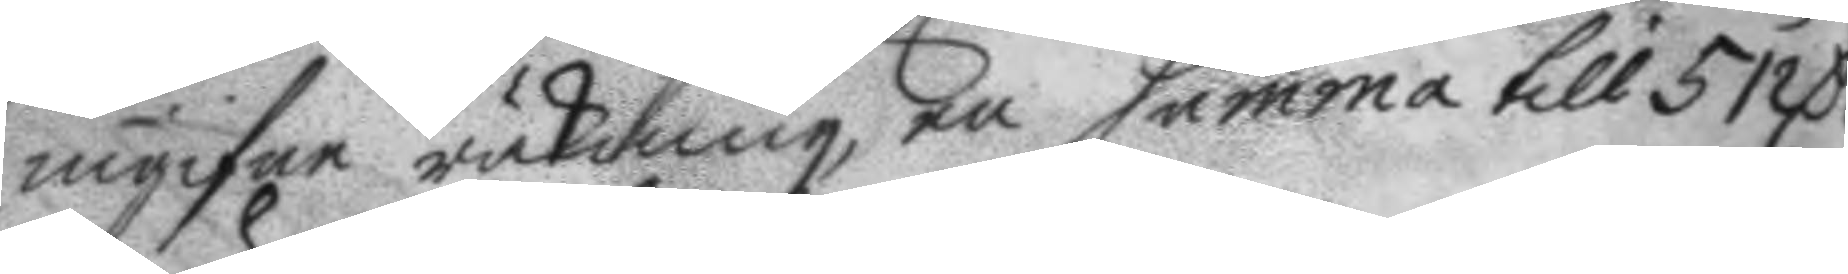ingifen räkning, en summa till 512 C.
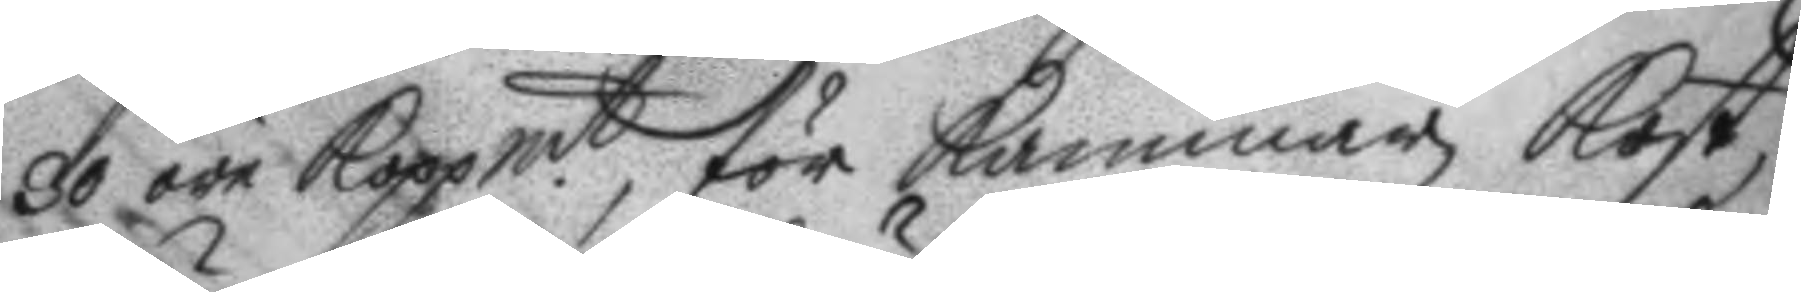30 öre Koppmt, för kammar kost,
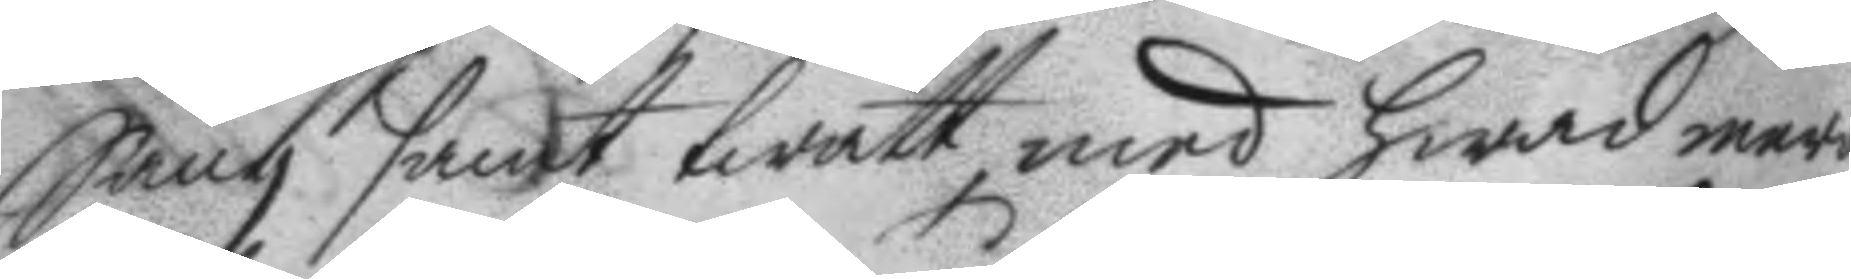Säng samt twätt, med hwad mera
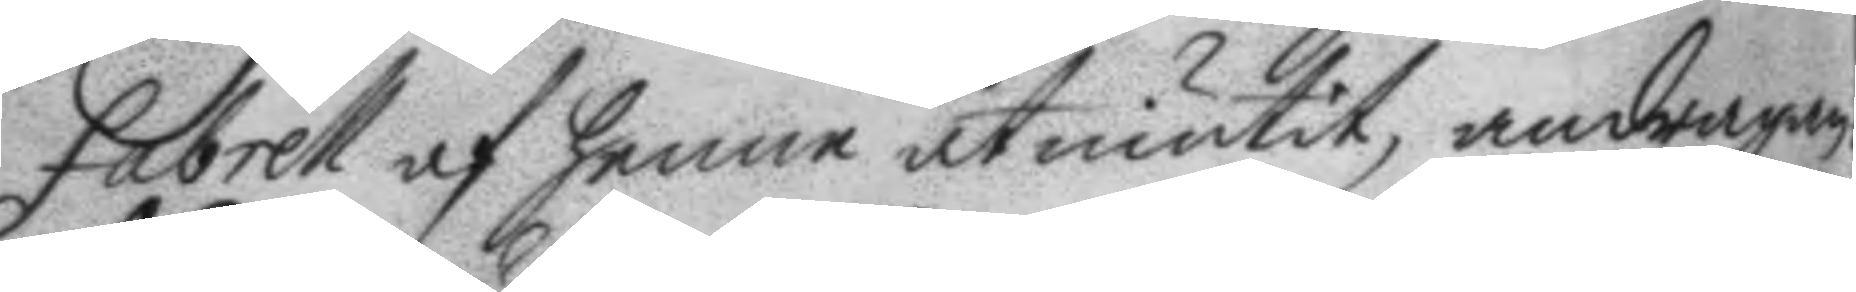fabrell af henne åtniutit andragan¬
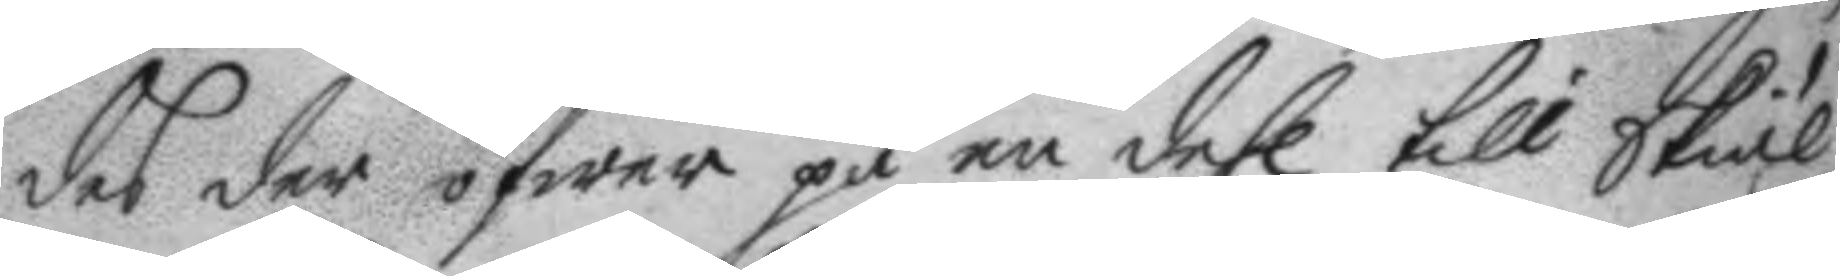des der öfwer på en dehl till Skiäl
